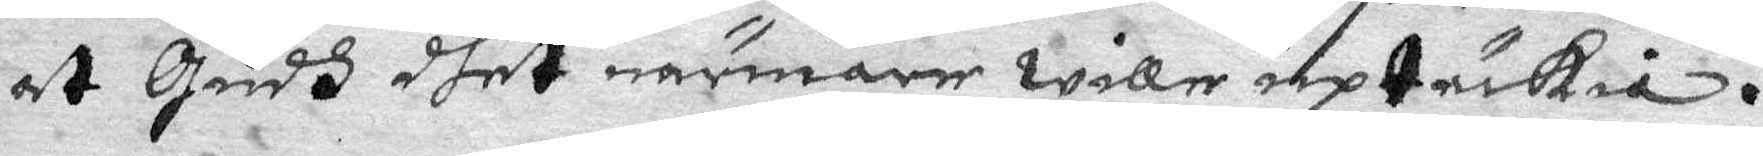at Gudh dhet närmare wille uptäckia.
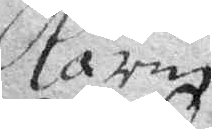Karin
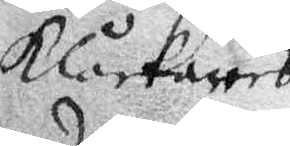klåckares
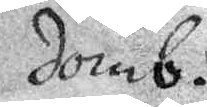domb.
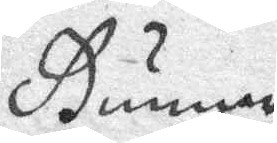Gunner
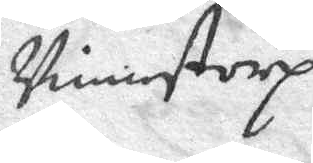Vimstorp.
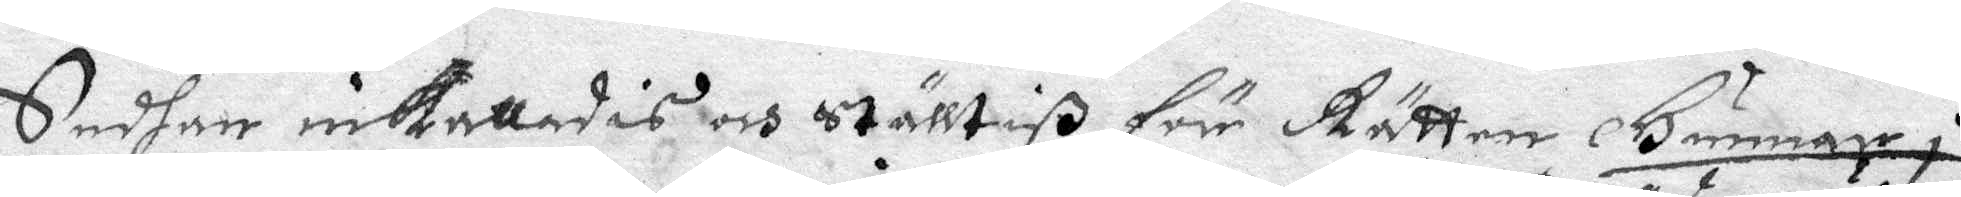Sedhan inkallades och Ställtiß för Rätten Gunnar i
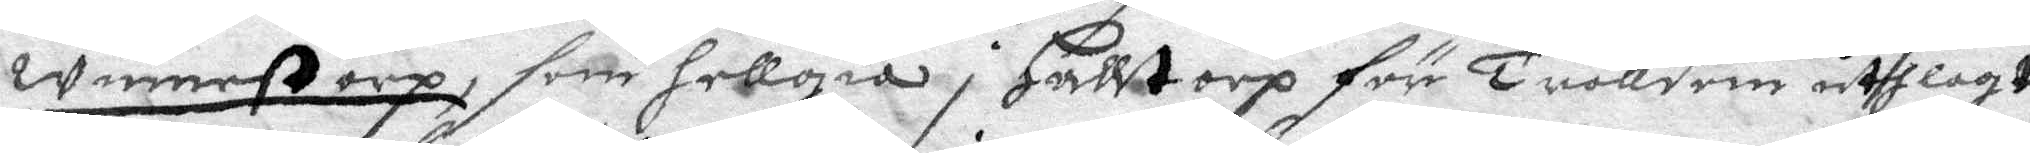winnestorp, som hellgia i Halltorp för Trolldom uthlagt
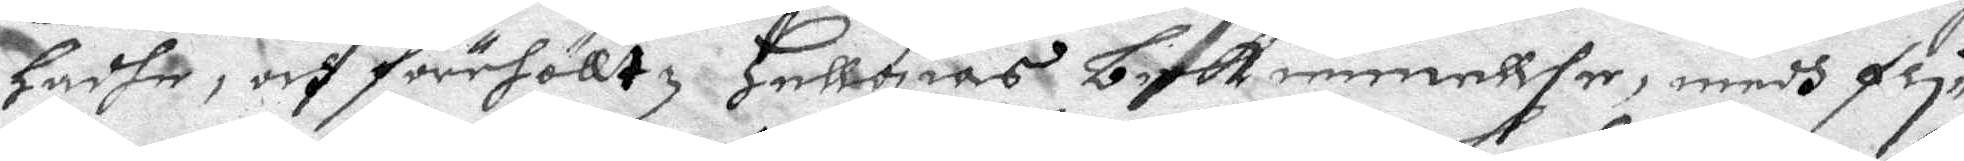Hadhe, och förehölltz Hellgias bekiennellse, medh fli¬
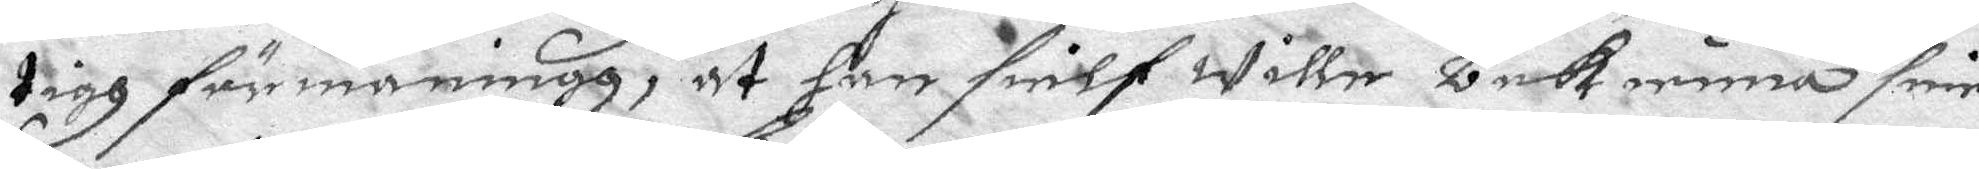tigh förmaning, at han sielf wille bekienna sine
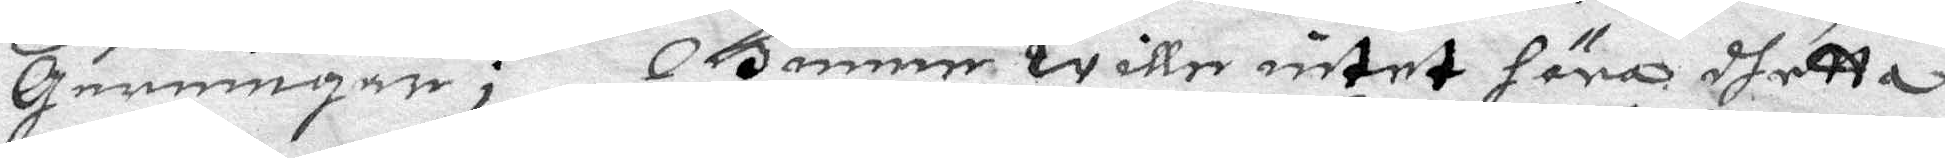gerningar; Gunner wille intet höra dhetta
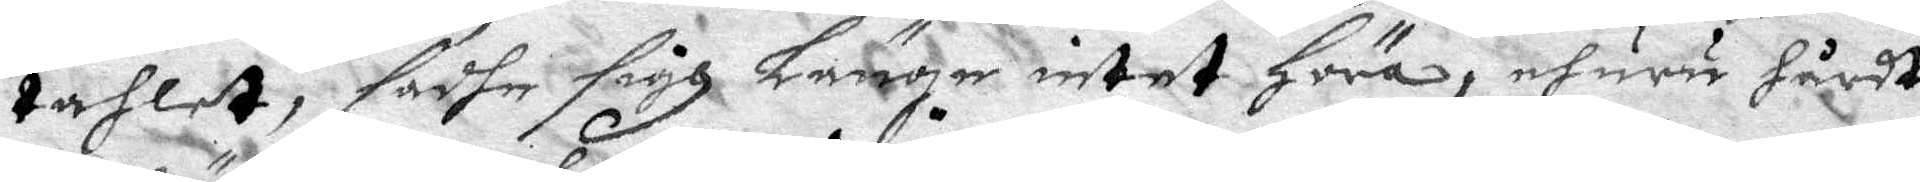tahlet, sadhe sigh Länge intet Höra, ehuru hårdt
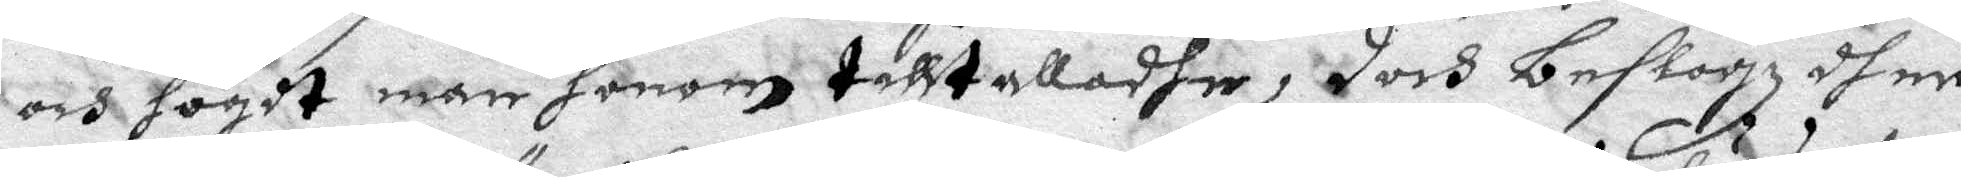och högdt man honom tilltalladhe, doch beslogz dher
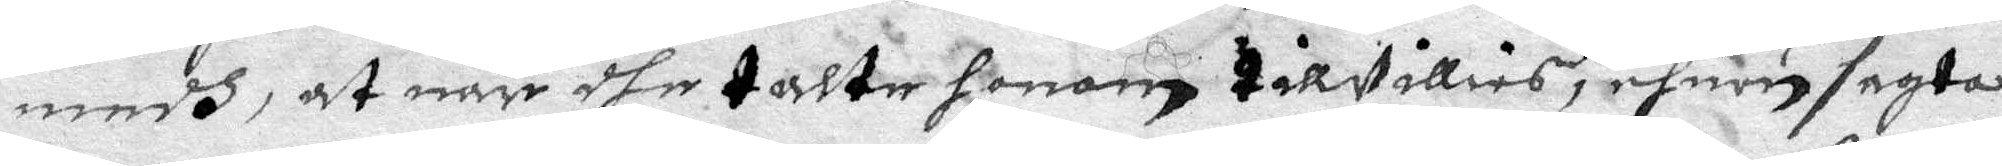medh, at när dhe talte honom tillwillies, ehuru sagta
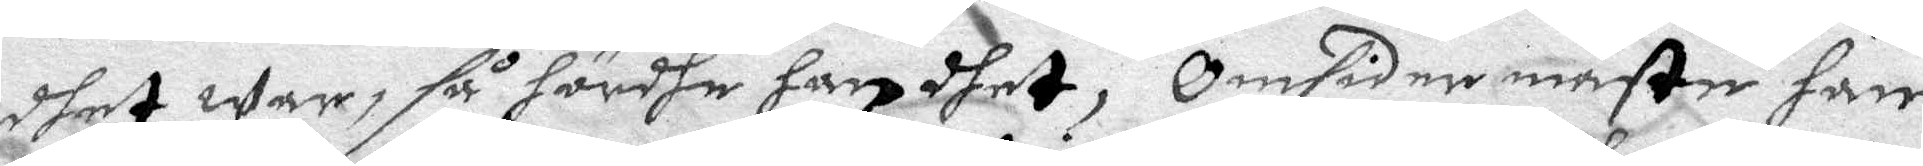dhet war, så hördhe han dhet, Omsider måste han
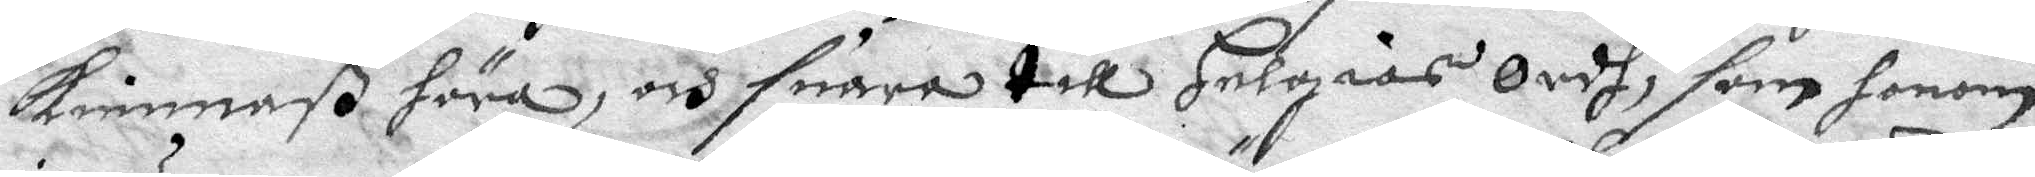kiennaß höra, och suara till Helgias Ordh, som honom
